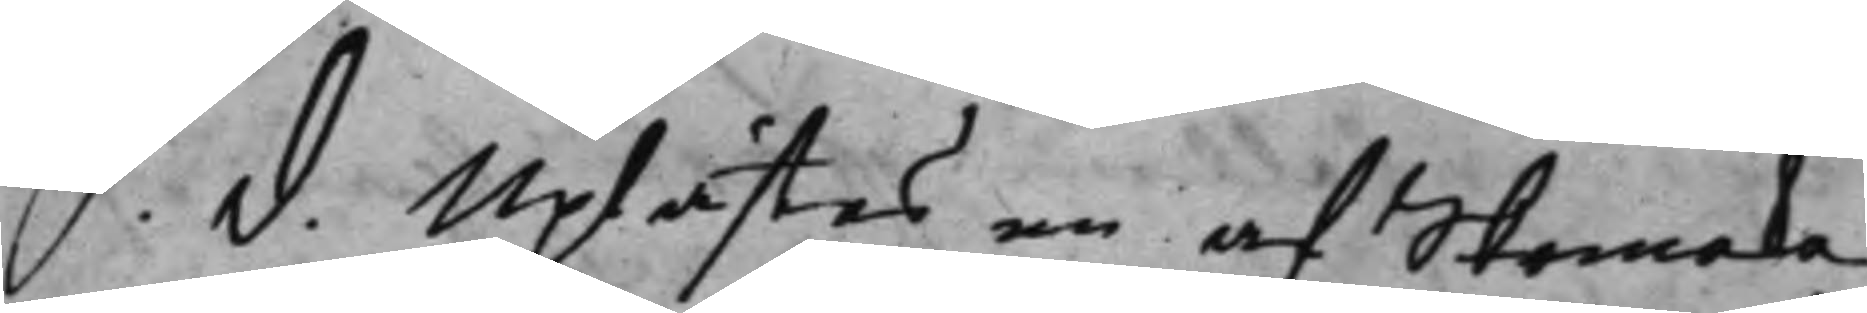S. d. Uplästes en af Skommaka¬
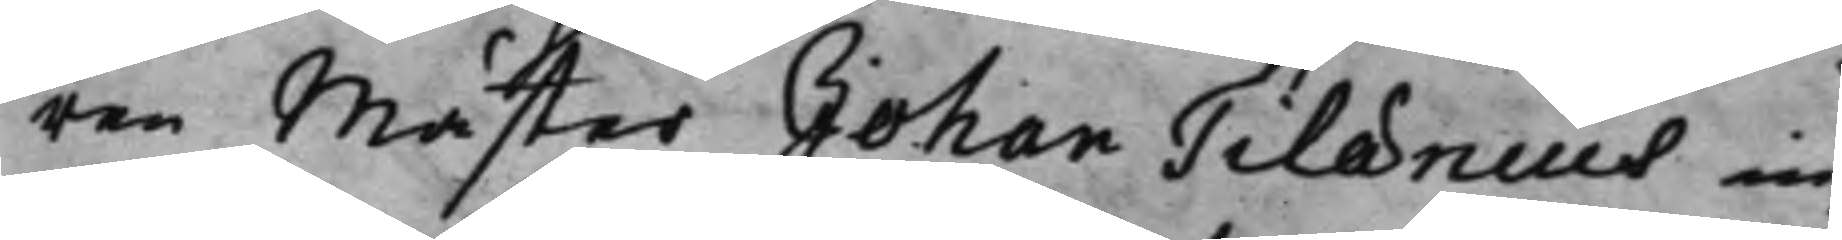ren Mäster Johan Tilænius in¬
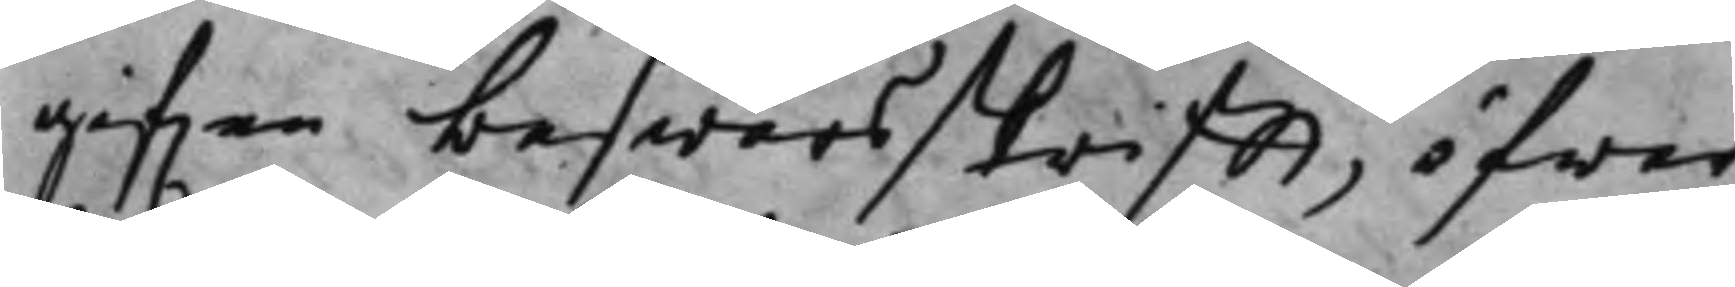gifen beswärsskrifft, öfwer
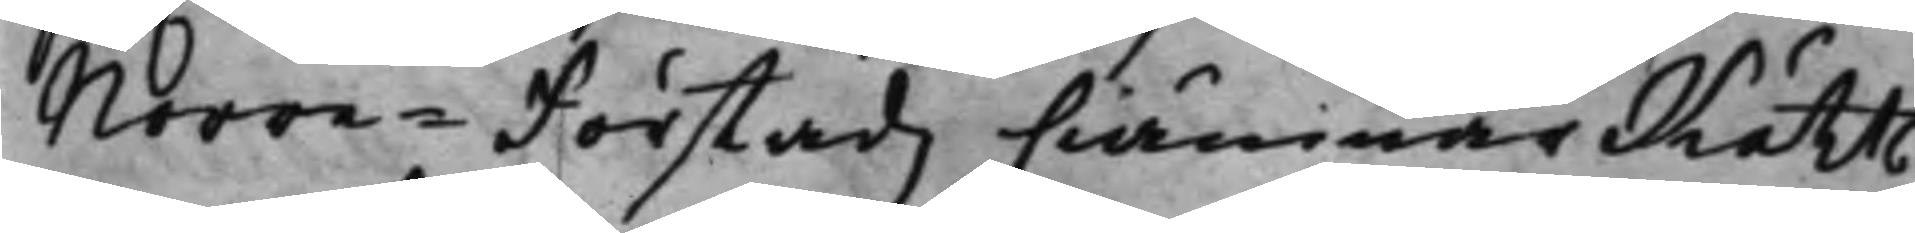Norre - Förstadz CiämnärRätts
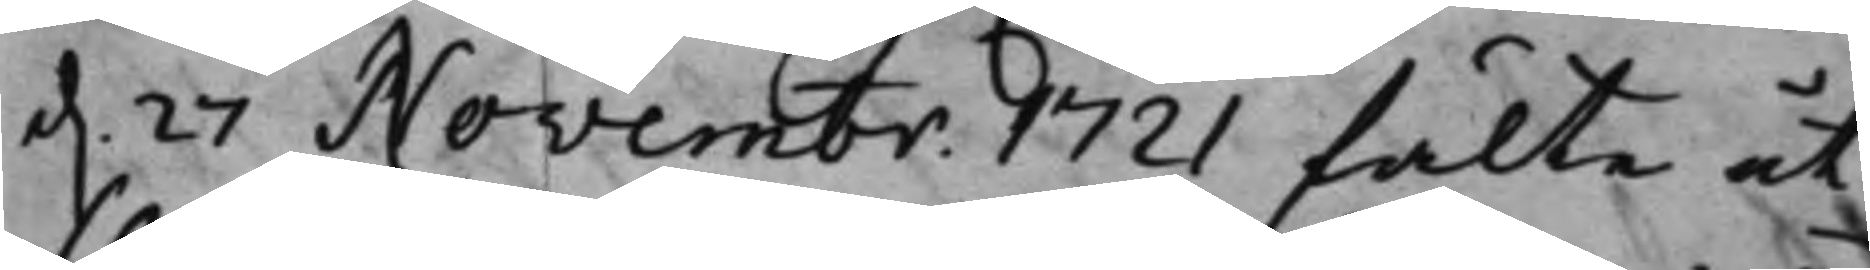d. 27 Novembr. 1721 fälte ut¬
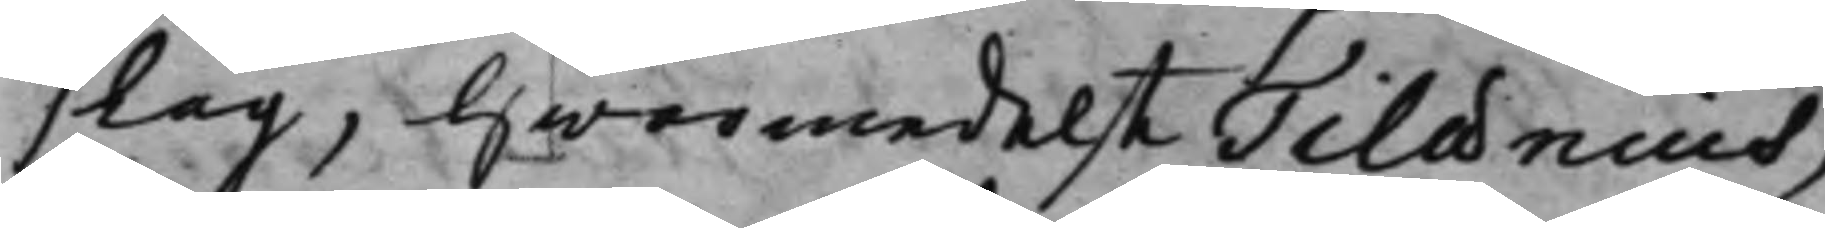slag, hwarmedelst Tilænius,
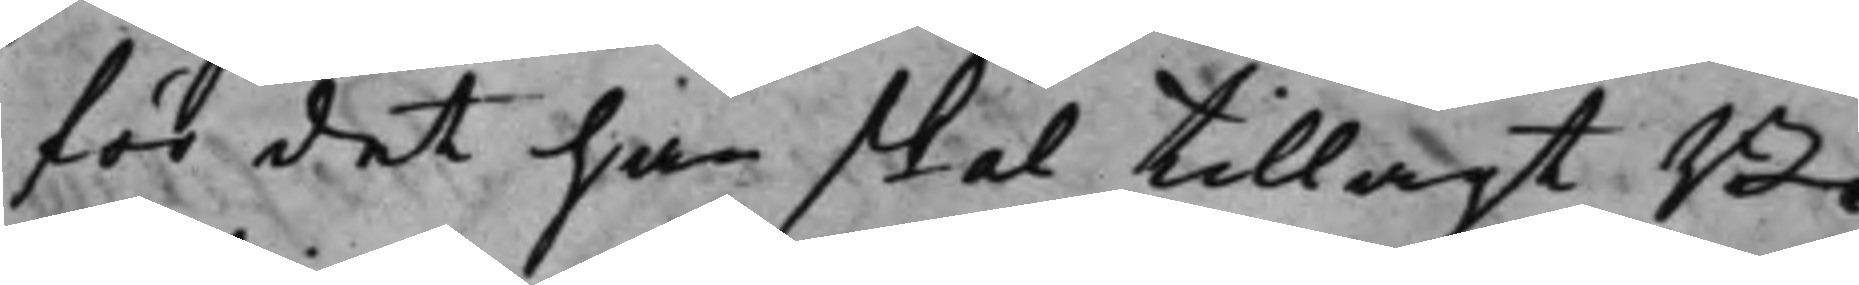för det han skal tillagt Bi¬
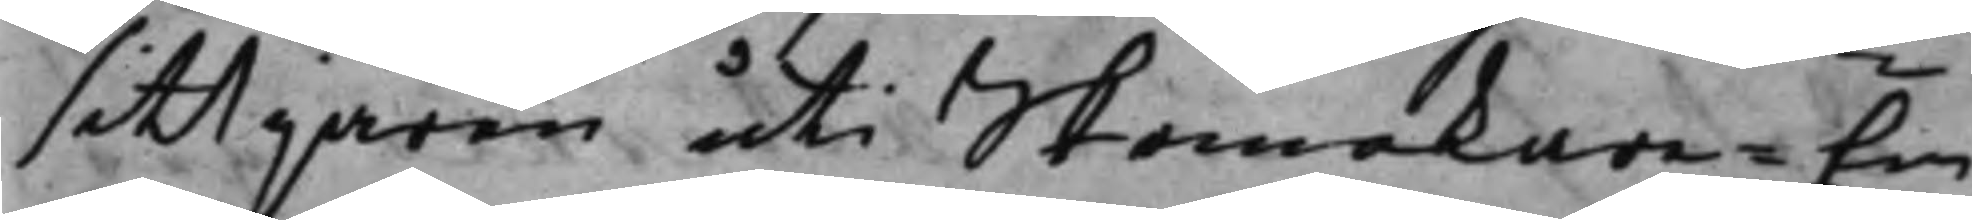sittjaren uti Skommakare - Em¬
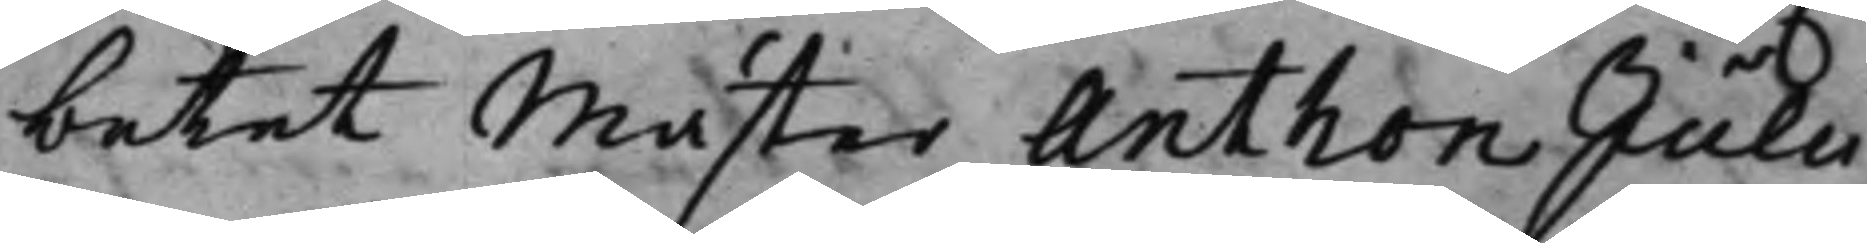betet Mäster Anthon Julii
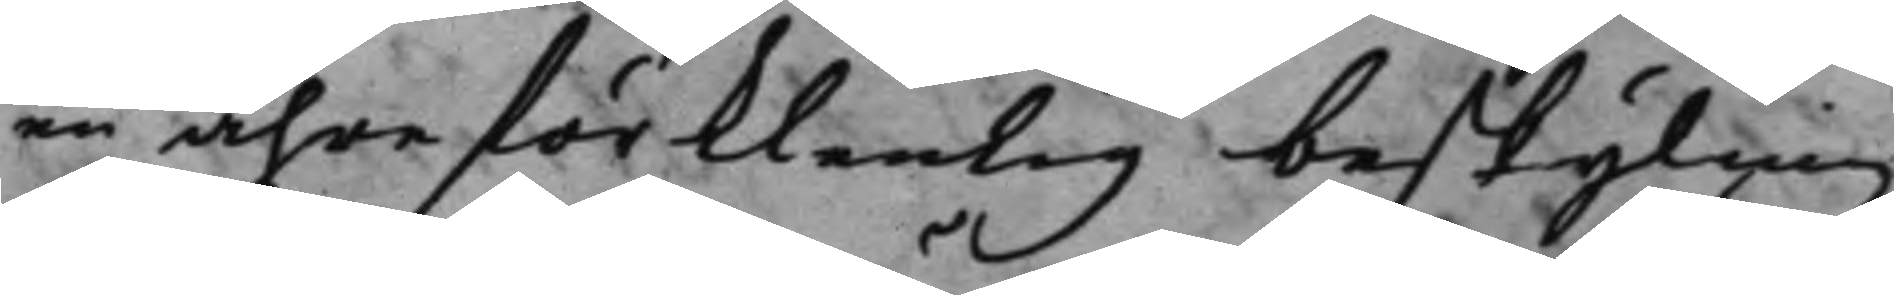en ähreförklenlig beskyling,
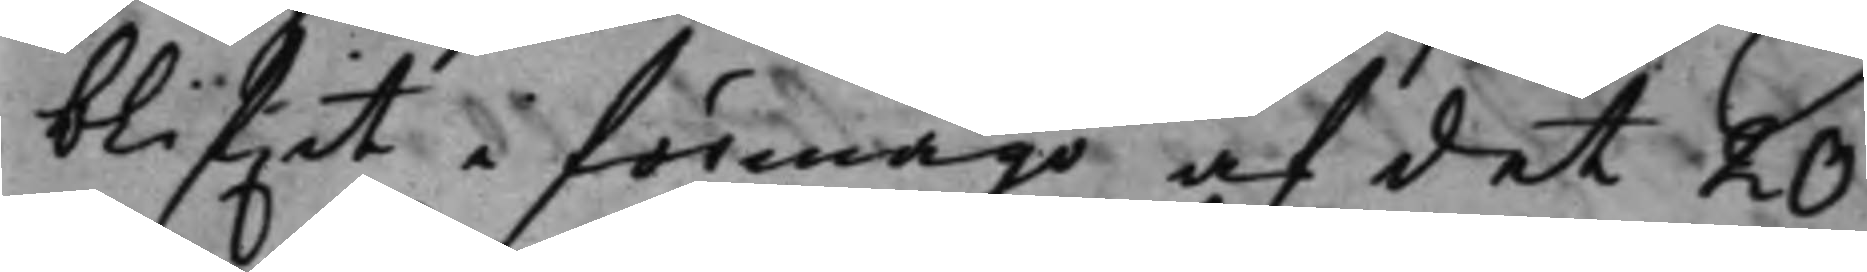blifwit i förmågo af det 20
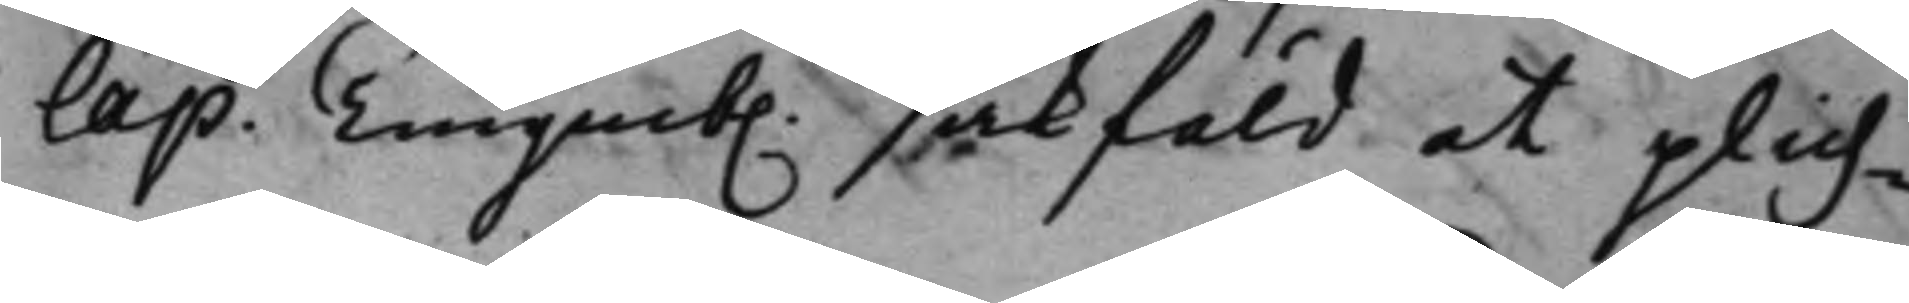Cap. Tenqueb. sakfäld at plich¬
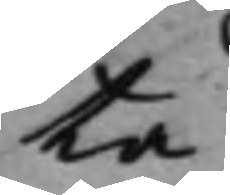ta
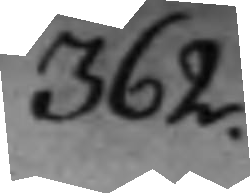362.
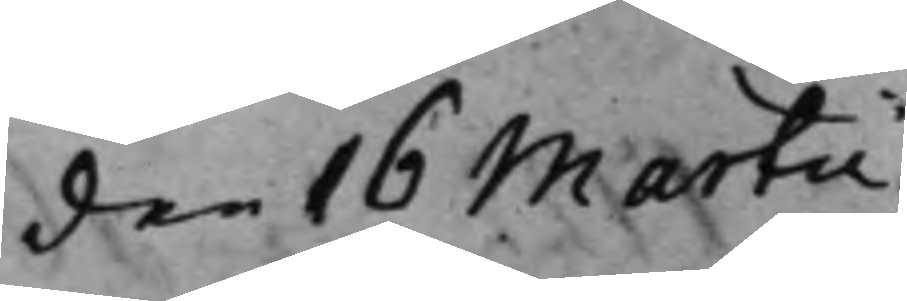den 16 Martii
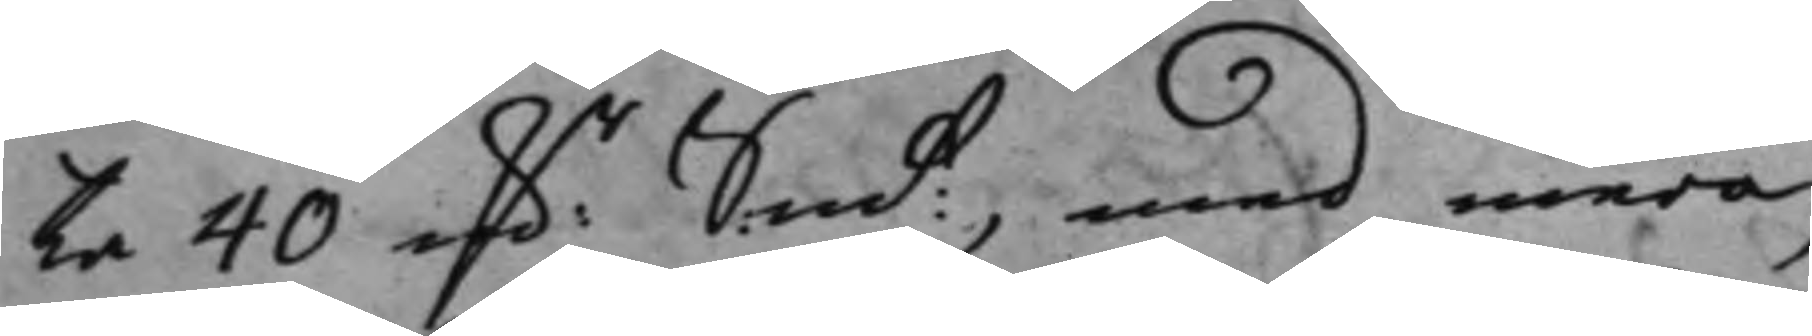ta 40 D.r Sm:t, med mera:
